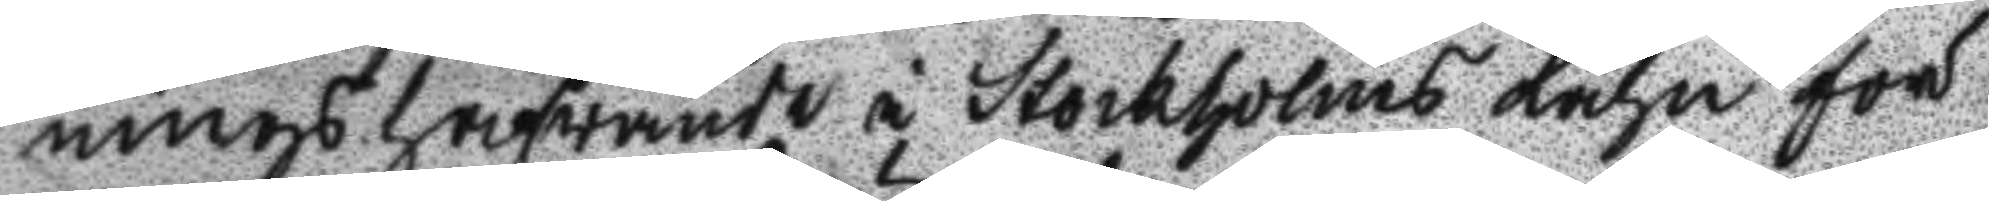ningshafwande i Stockholms Lähn för
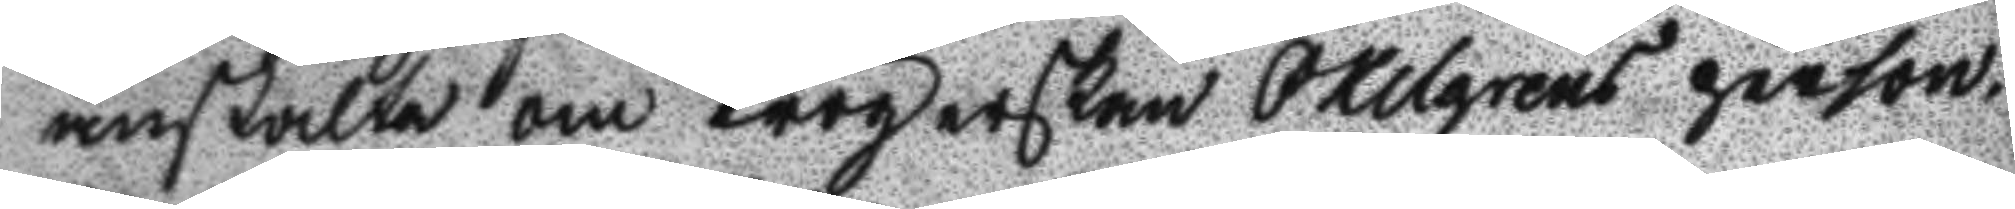anstalte om Krögerskan Oxelgrens person¬
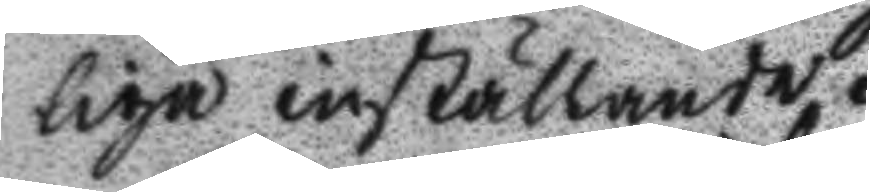liga inställande.
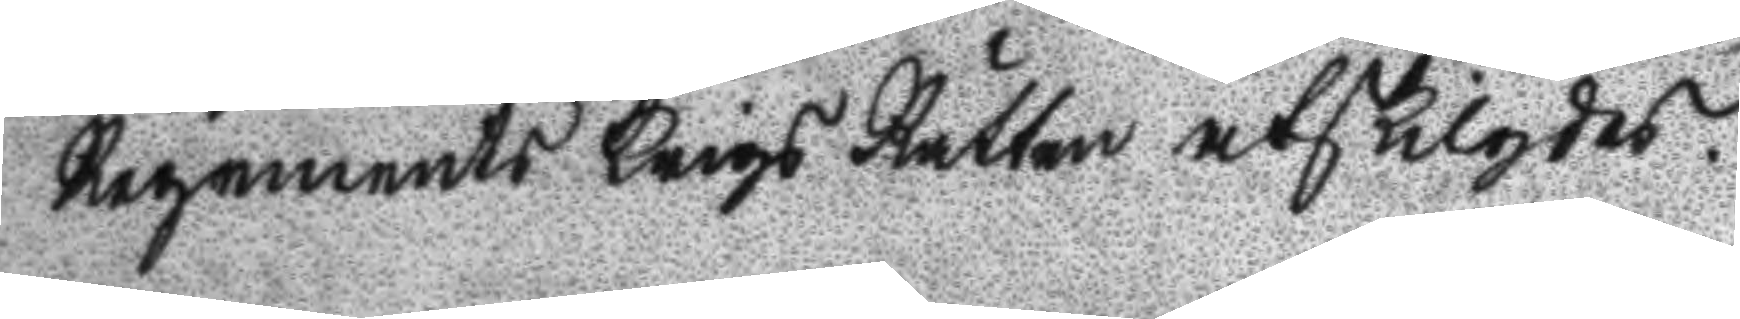Regements Krigs Rätten åtskilgdes.
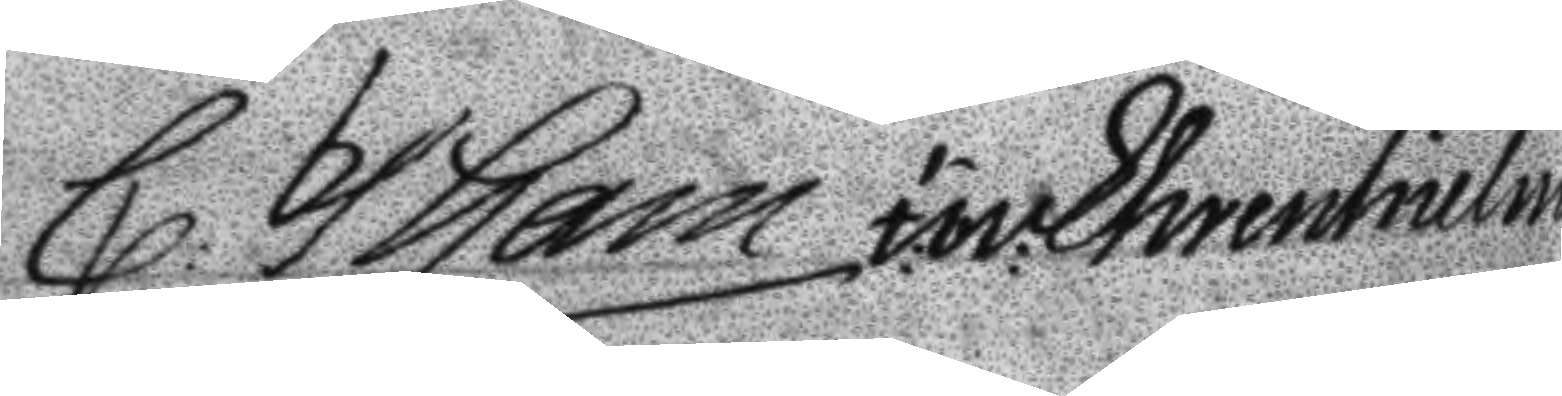C: Tham iw: Ehrenhielm
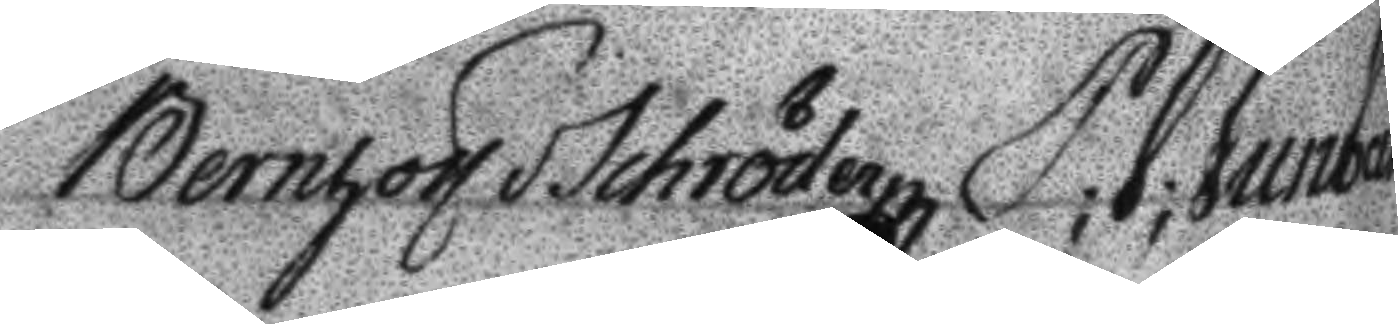Bernhov Schröder P; J; Junbeck
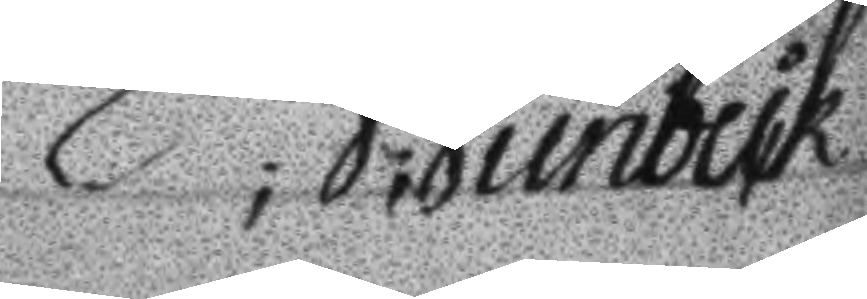P; J; Junbeck
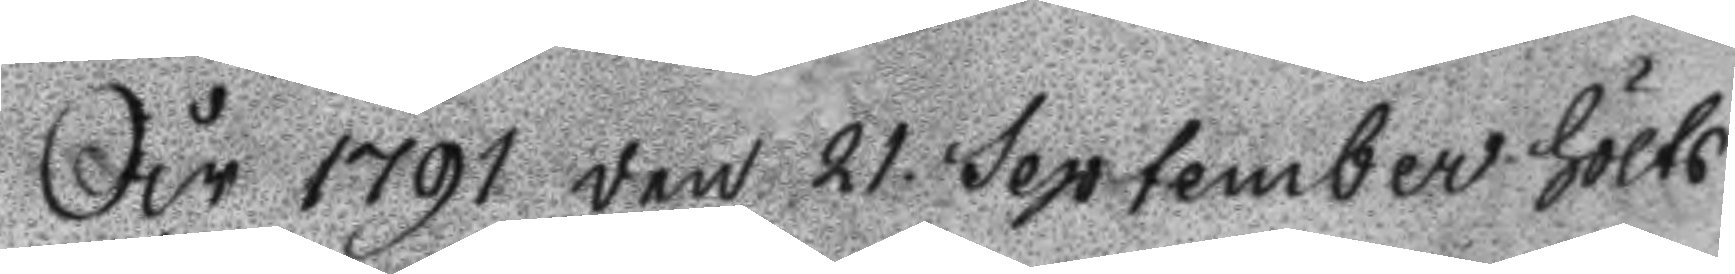År 1791 den 21 September hölts
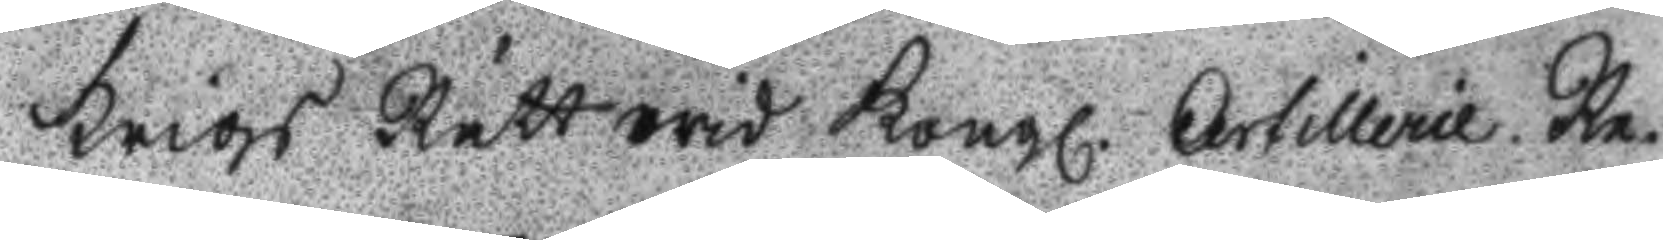Krigs Rätt wid Kongl. Artillerie Re¬
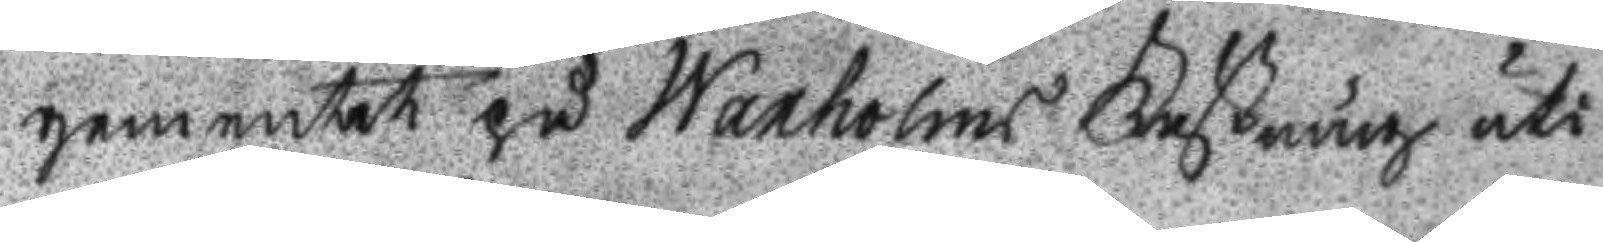gementet på Waxholms Fästning uti
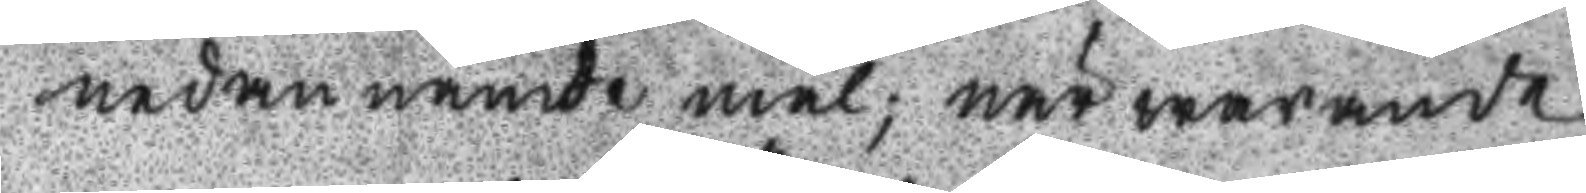nedannämde mål; närwarande
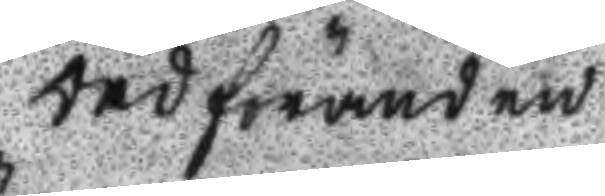Ordföranden
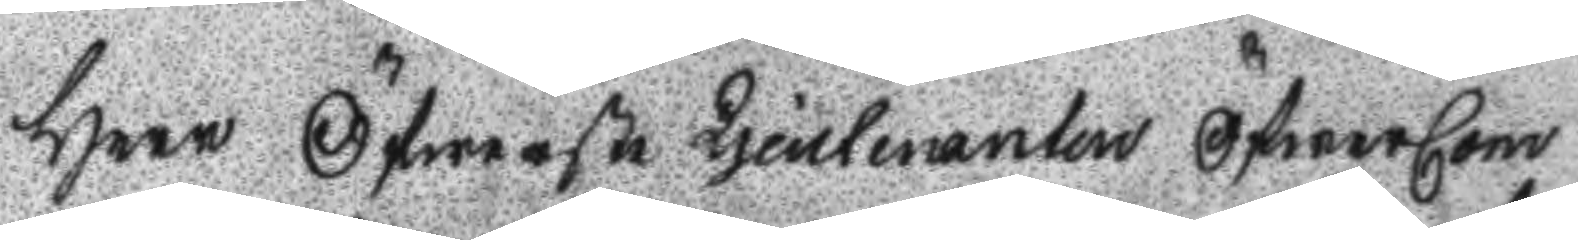Herr Öfwerste Ljeutenanten ÖfwerCom
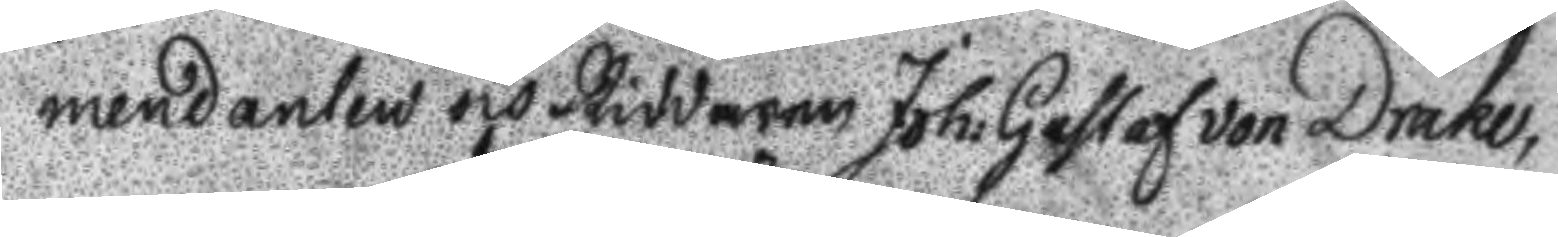mendanten och Riddaren Joh: Gustaf von Drake
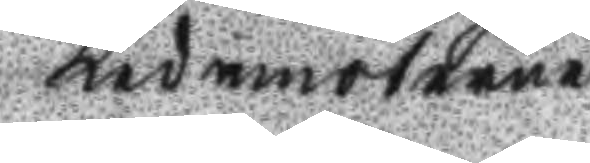Ledamöterne
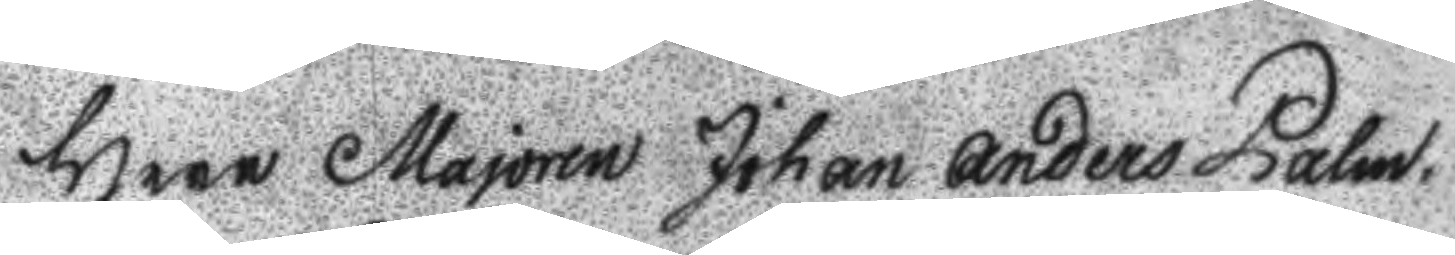Herr Majoren Johan Anders Palm.
